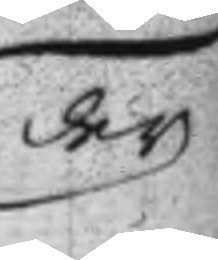der
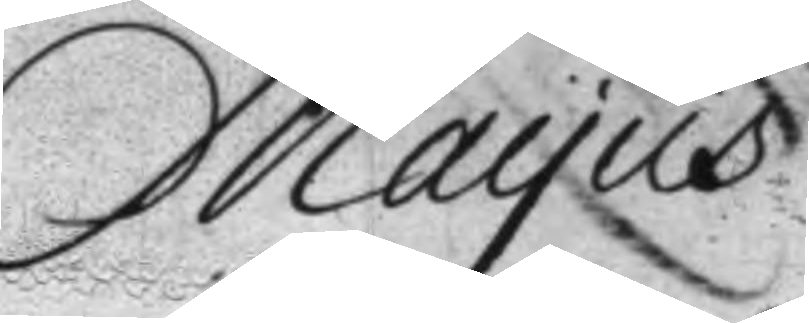Mayus
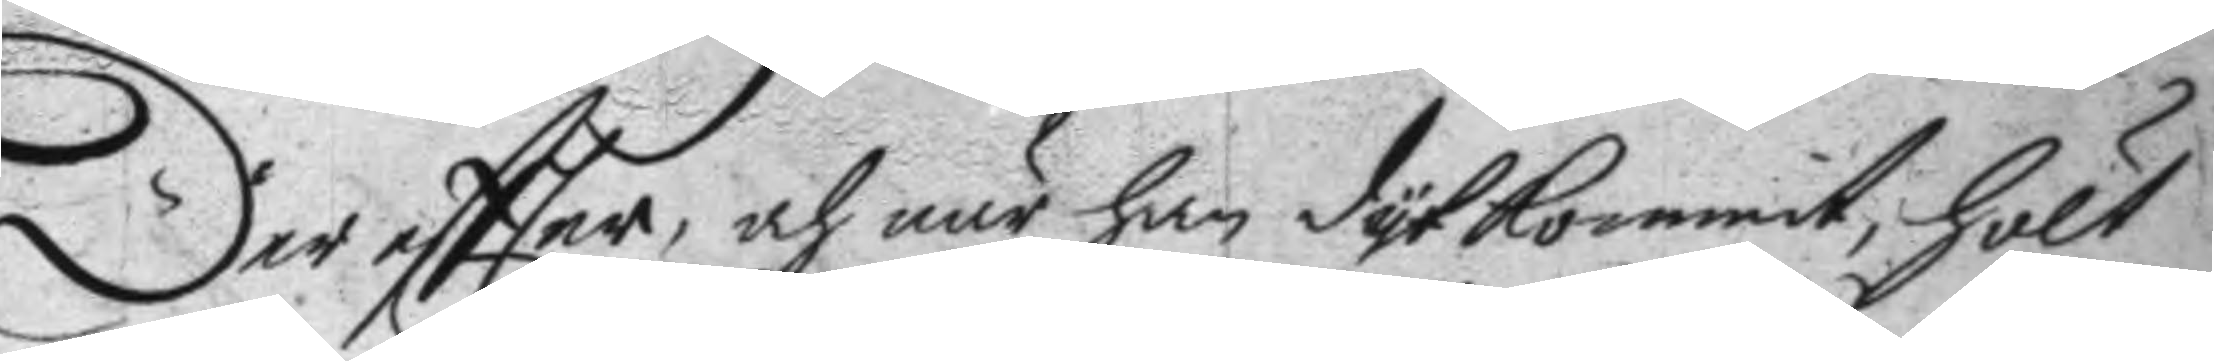der effter, och när han dyt kommit, hölt
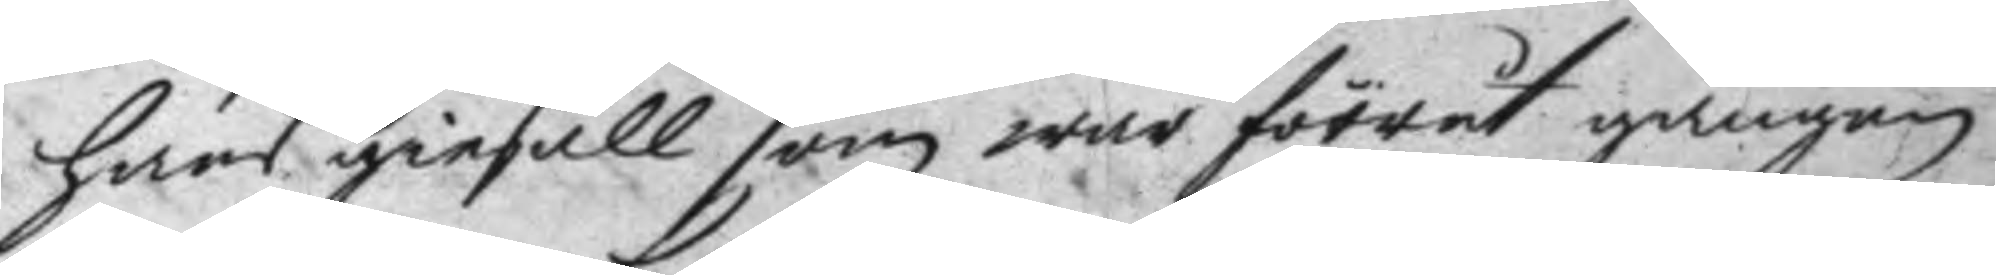hans giesäll som war förrut gången
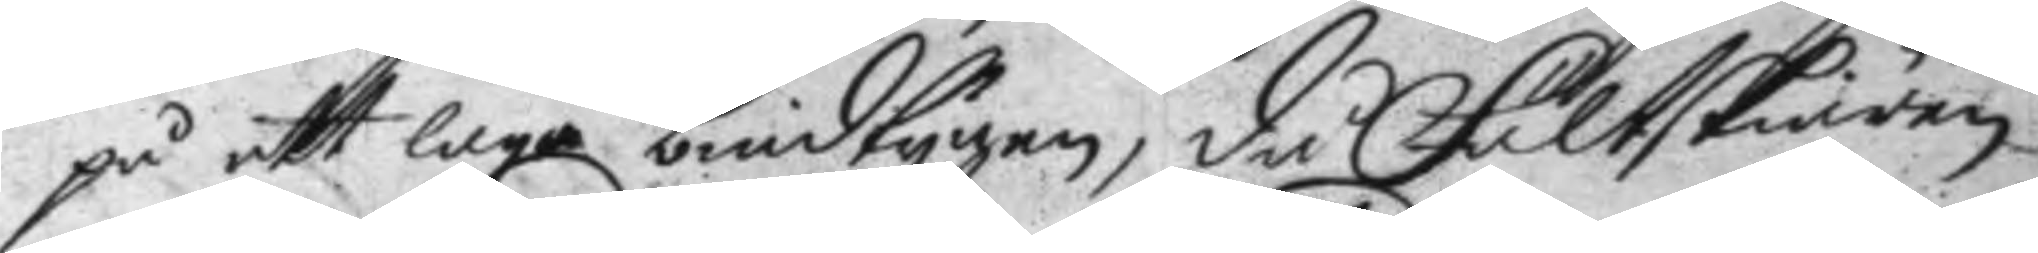på ett laga bindtygen, då Fältskiären
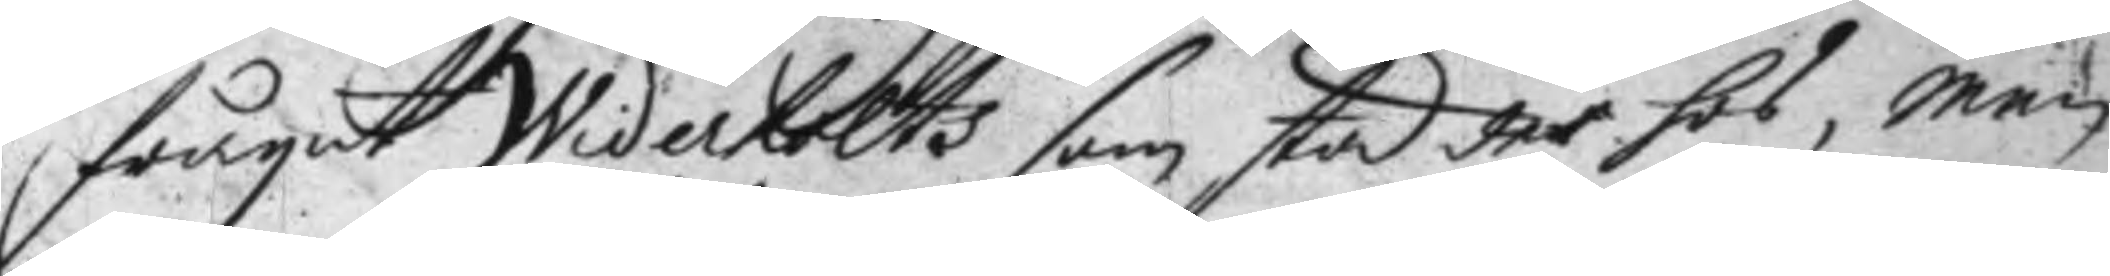frågat Widerholts som stod der hos, men
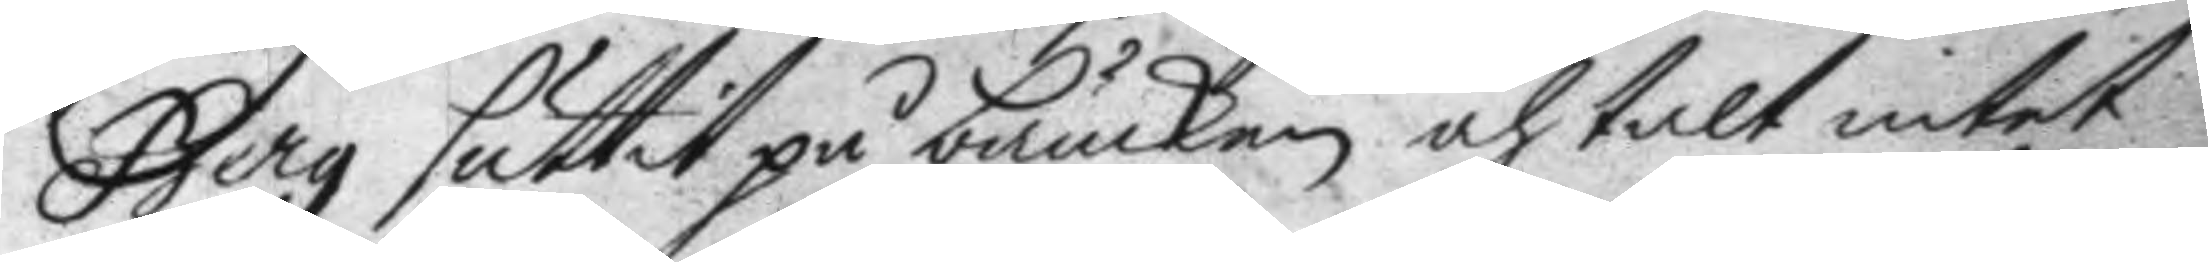Berg suttit på bänken och talt intet
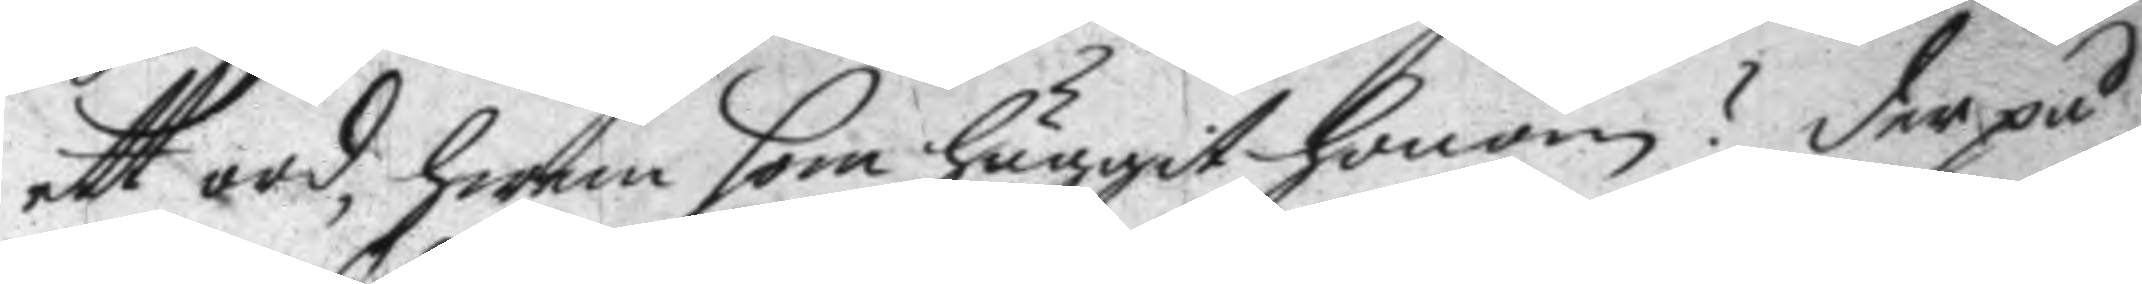ett ord, hwem som huggit honom? der på
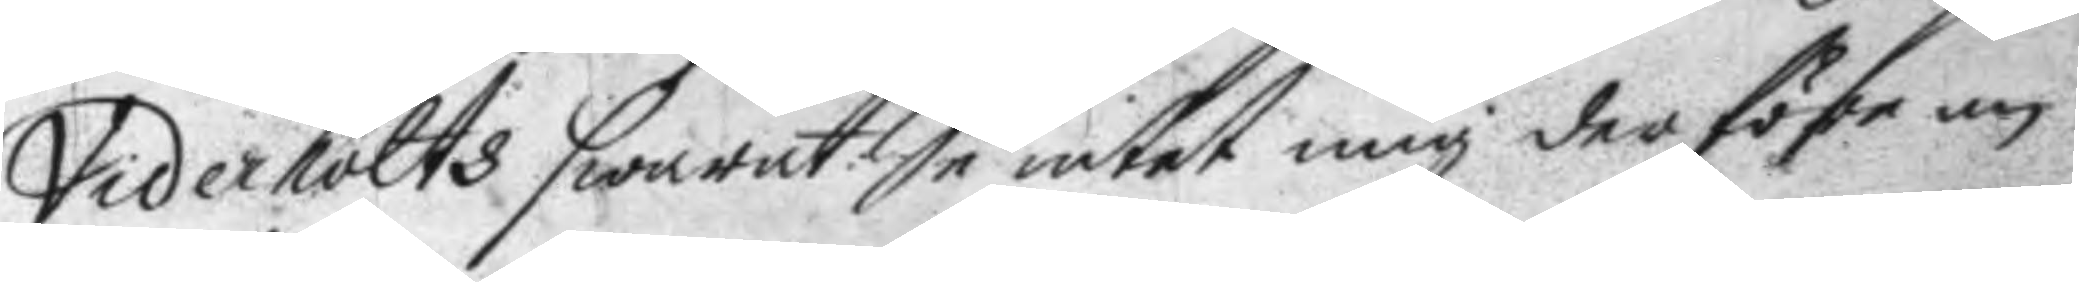Viderholts swarat: Se intet mig der före an
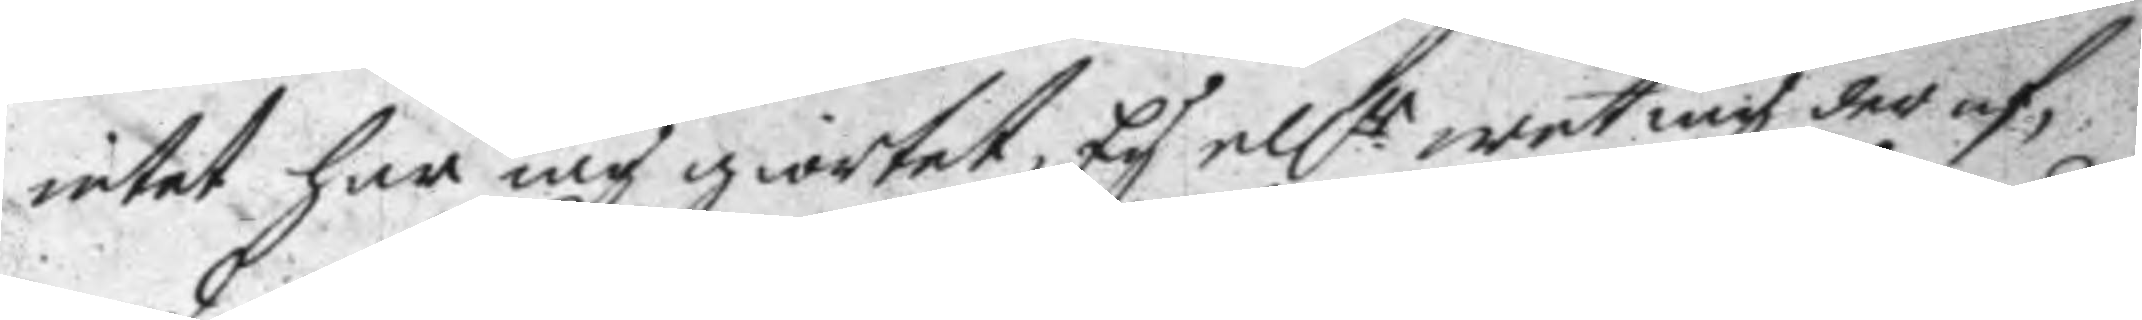intet har iag giortet, Ey ellr wet mig der af, 
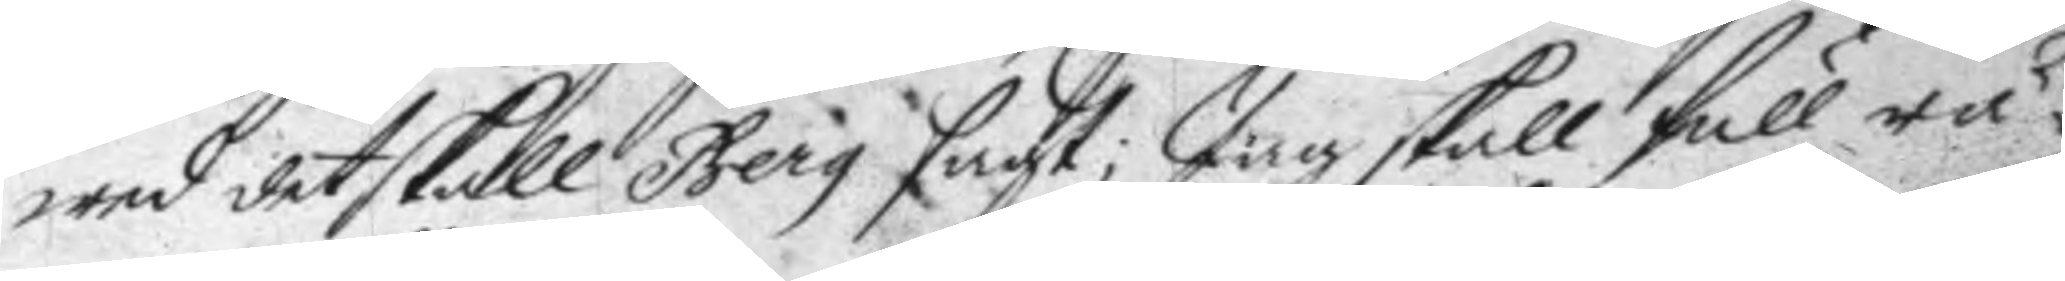wed det skall Berg sagt; Jag skall full rä¬
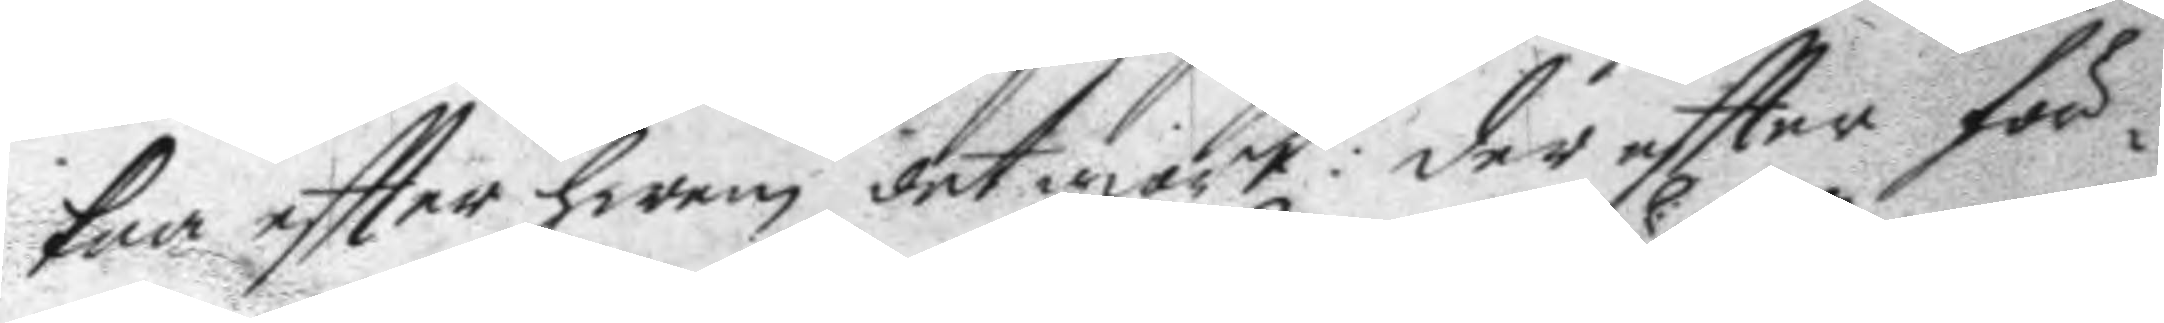kna eftter hwem det giort: der eftter för¬
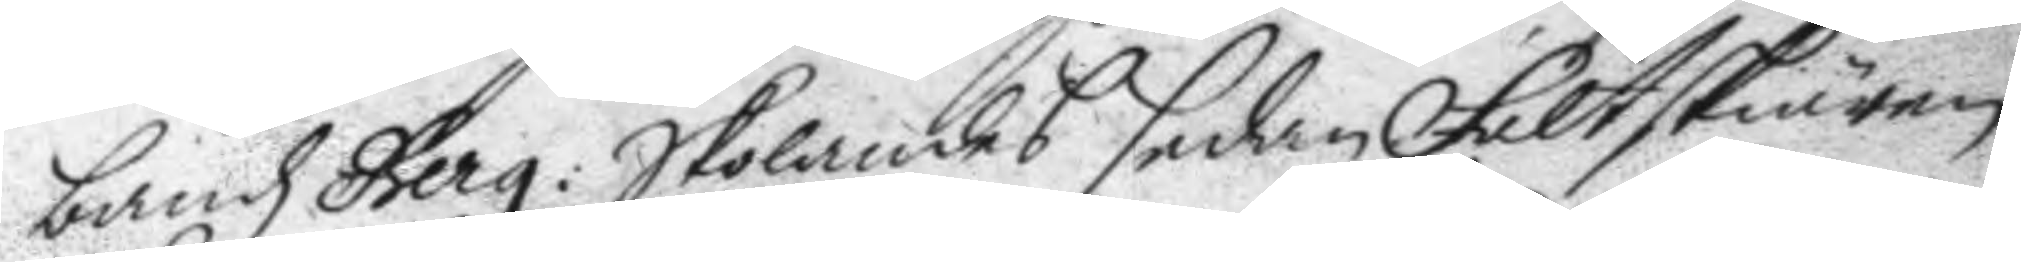bandz Berg: Skolandes sedan Fältskiären
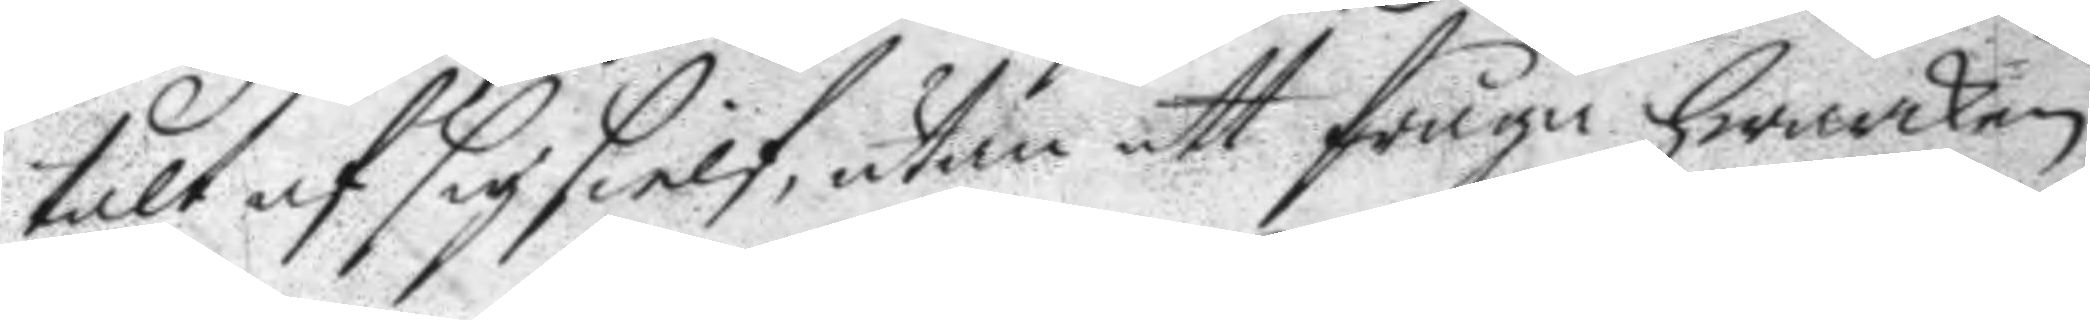talt af sig sielf, utan att fråga hwarken
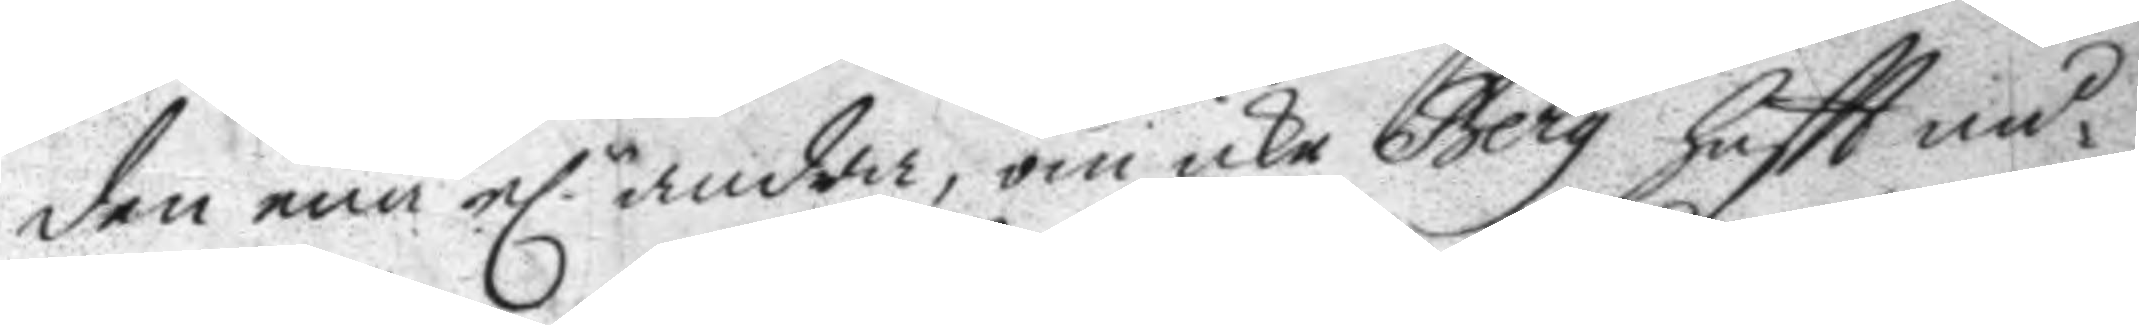den ena e.r andra, om icke Berg haftt nå¬ 
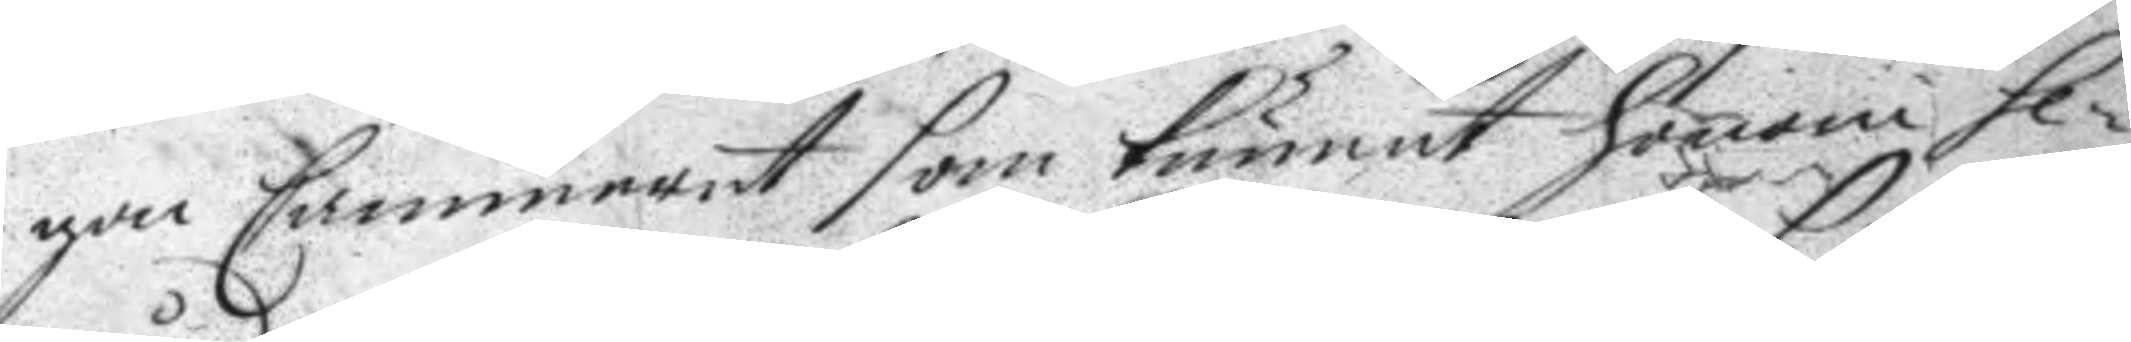gon Cammeret som kunnat honom se¬ 
